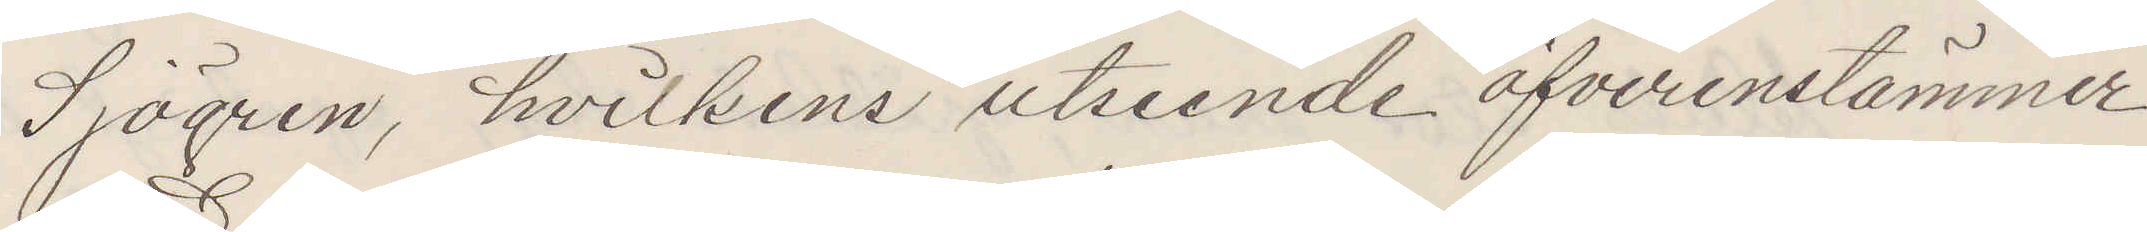Sjögren hvilkens utseende öfverensstämmer
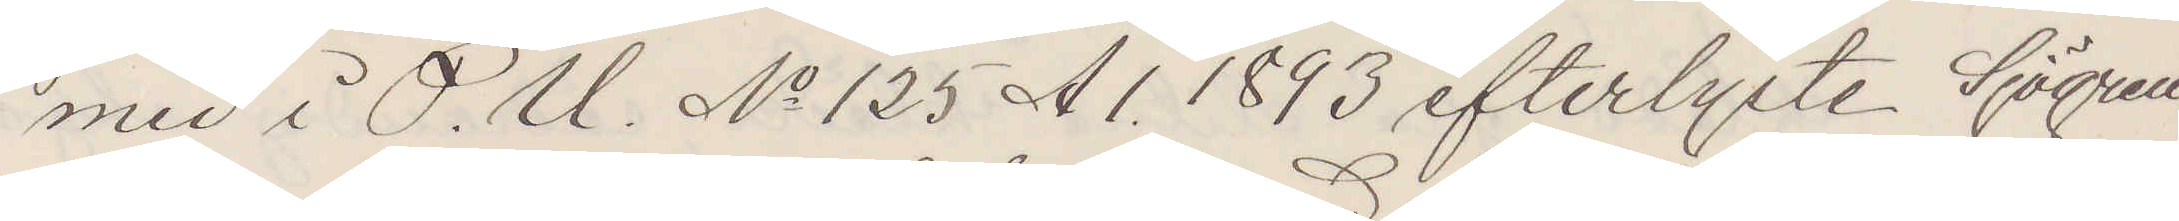med i P. U. No 125 A1. 1893 efterlyste Sjögren
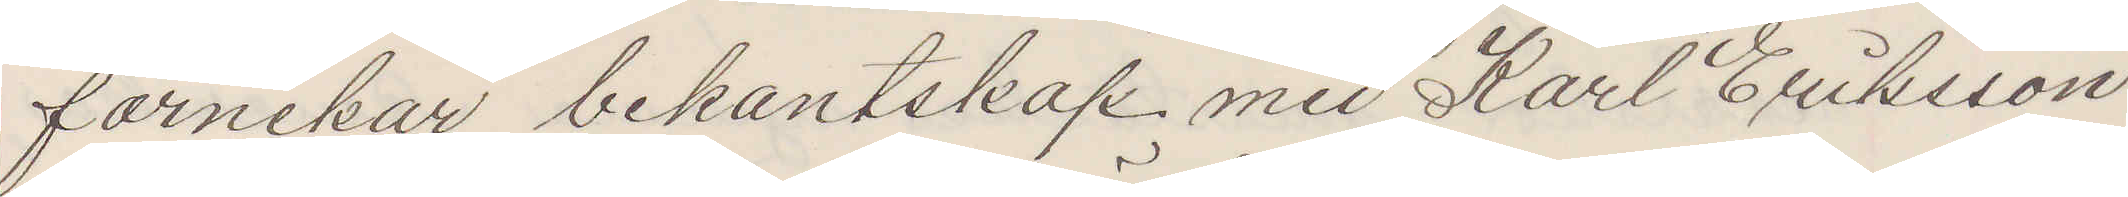förnekar bekantskap med Karl Eriksson,
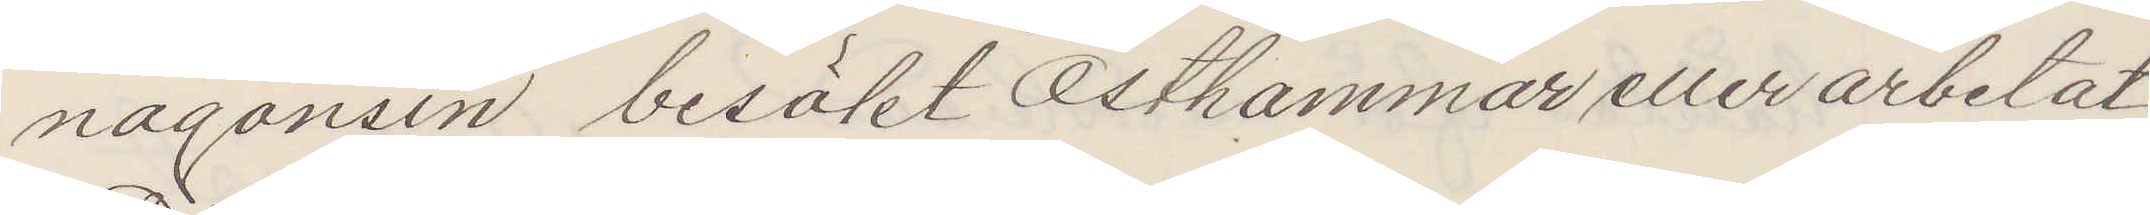någonsin besökt Östhammar eller arbetat
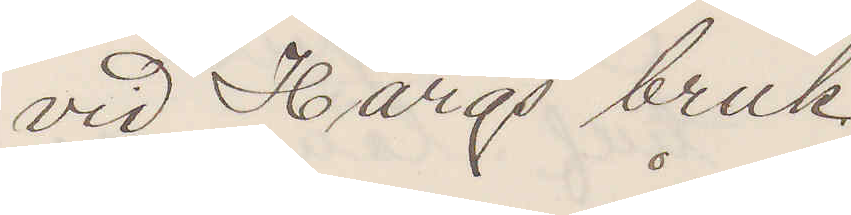vid Hargs bruk.
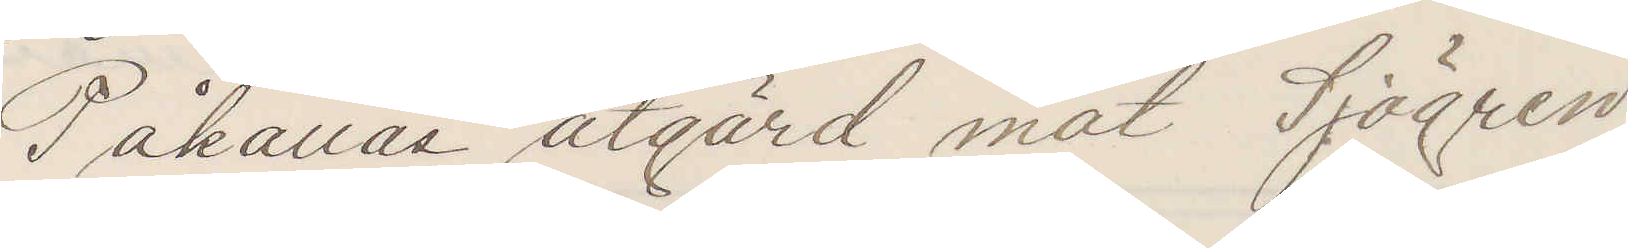Påkallas åtgärd mot Sjögren
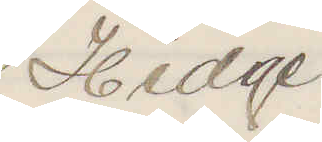Hedge
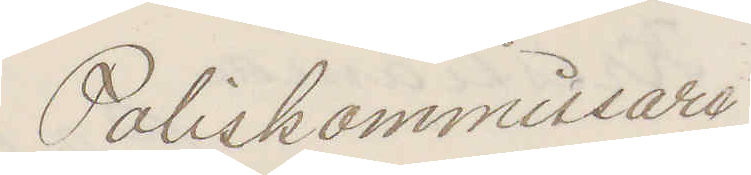Poliskommissarie
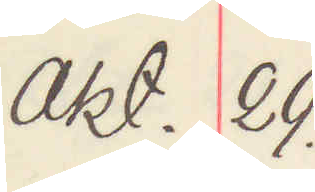Okt. 29.
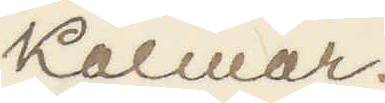Kalmar.
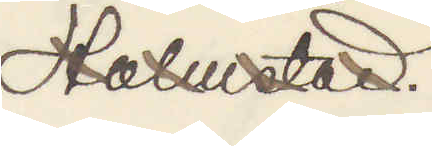Halmstad
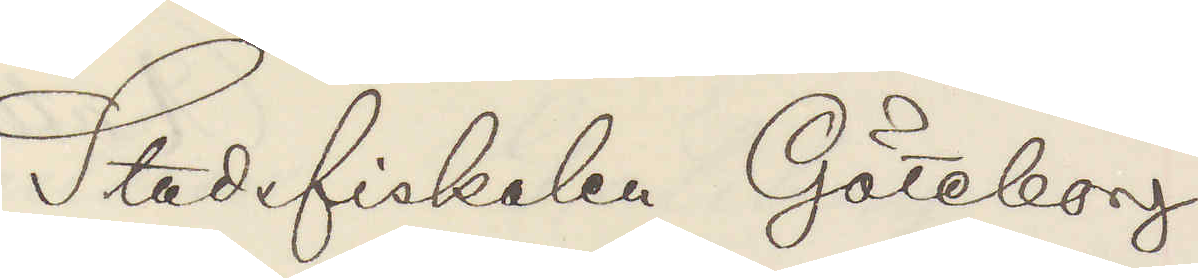Stadsfiskalen Göteborg
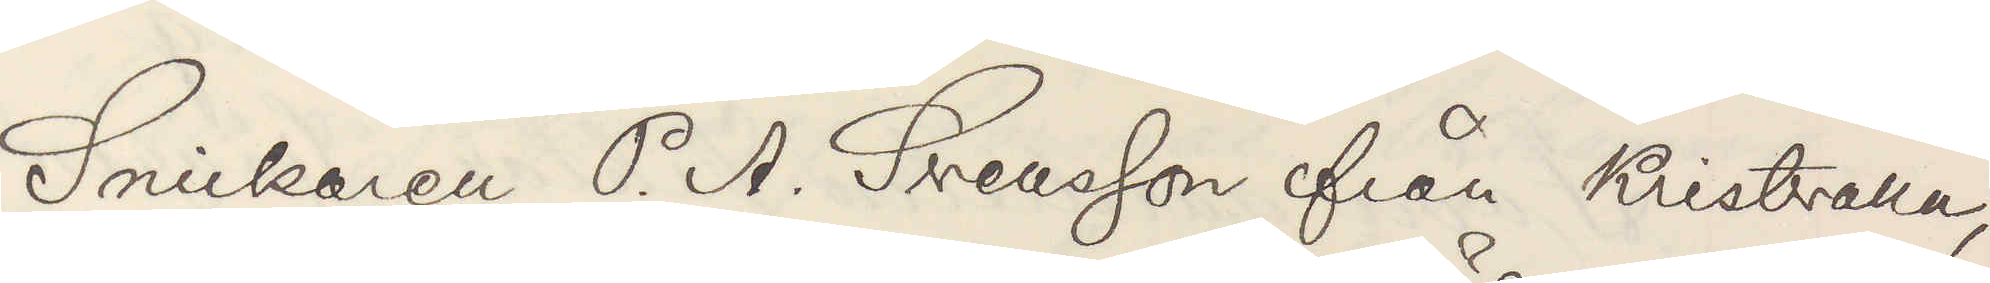Snickaren P. A. Svensson från Kristvalla,
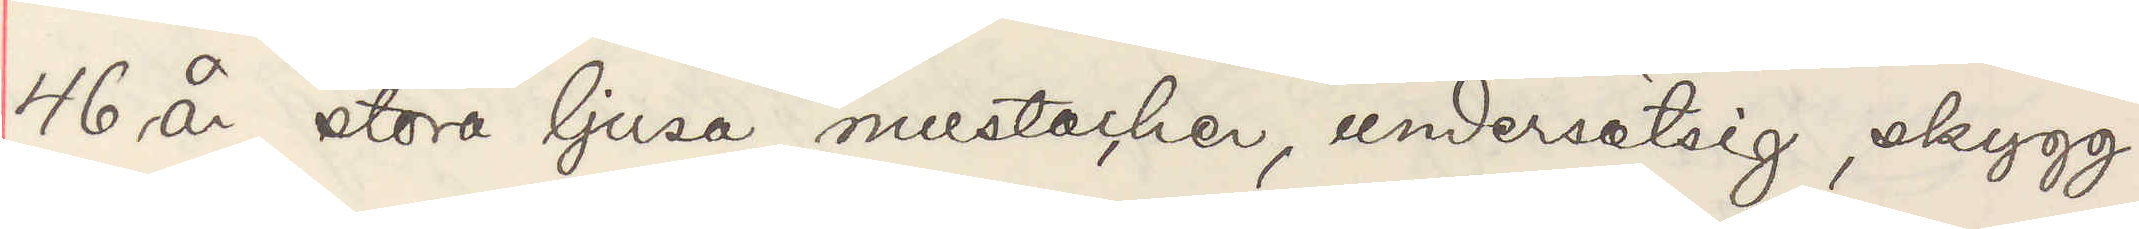46 år, stora ljusa mustacher, undersätsig, skygg
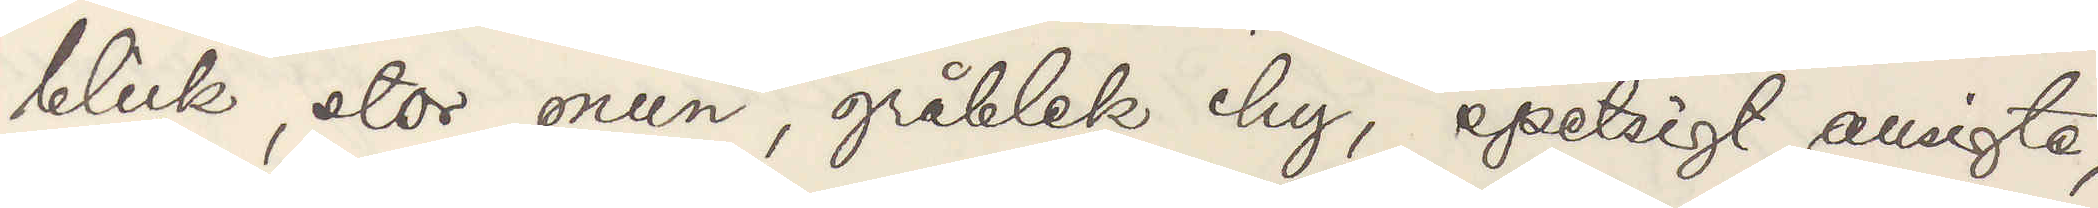blick, stor mun, gråblek hy, spetsigt ansigte,
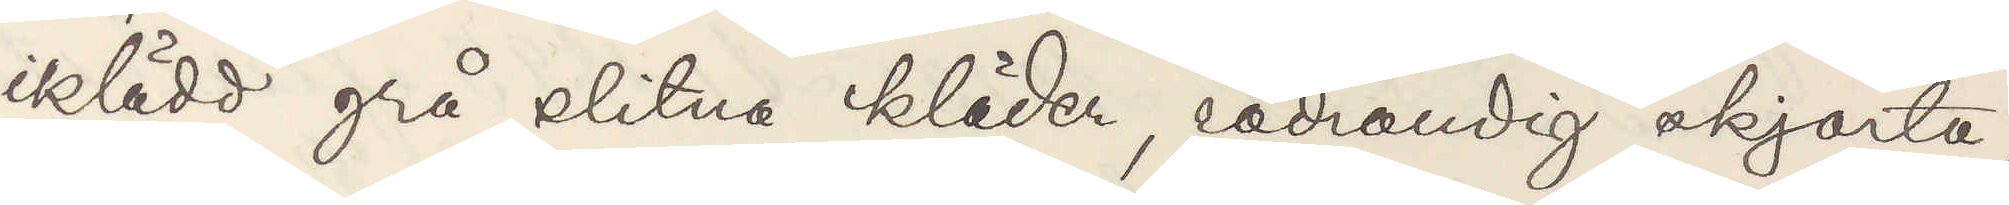iklädd grå slitna kläder, rödrandig skjorta,
